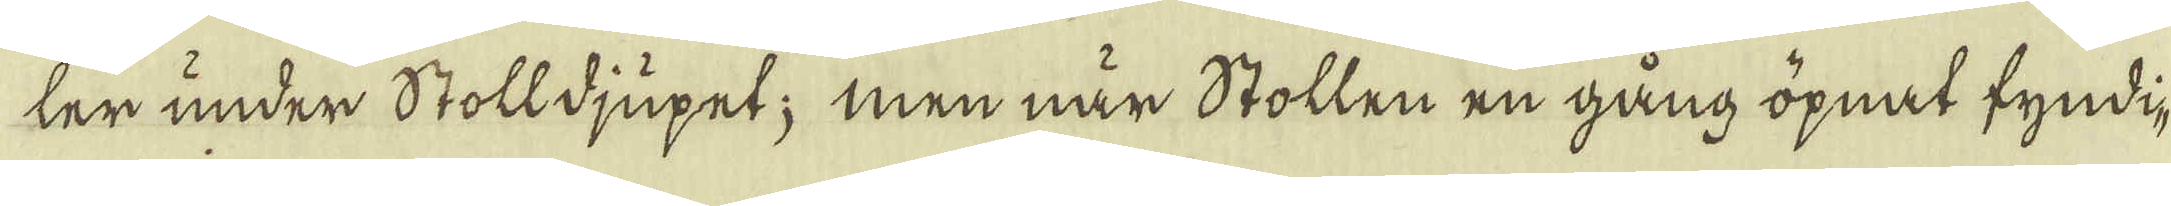ter under Stolldjupet; men när Stollen en gång öpnat fyndi-
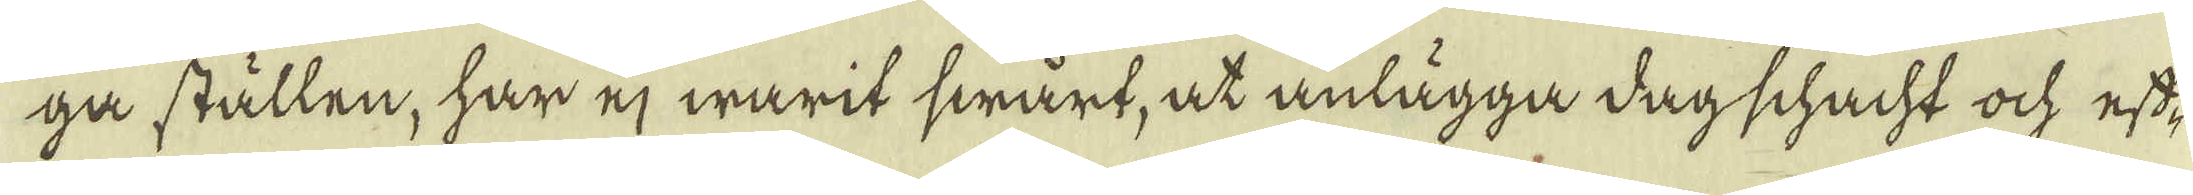ga ställen, har ej warit swårt, at anlägga dagschacht ock eft-
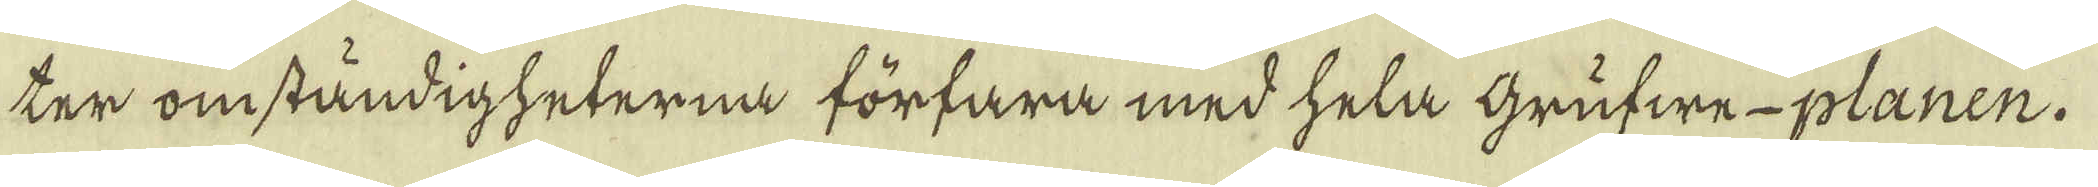ter omständigheterna förfara med hela Grufwe-planen.
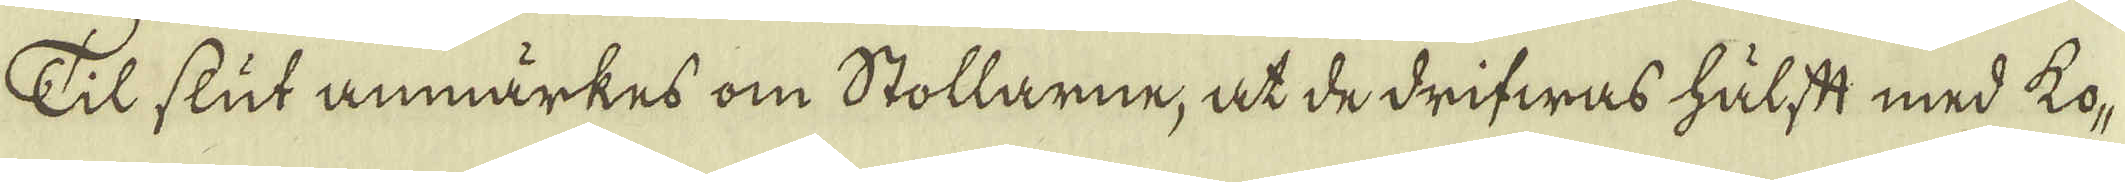Till slut anmärkes om Stollarne, at de drifwas hälst med ko-
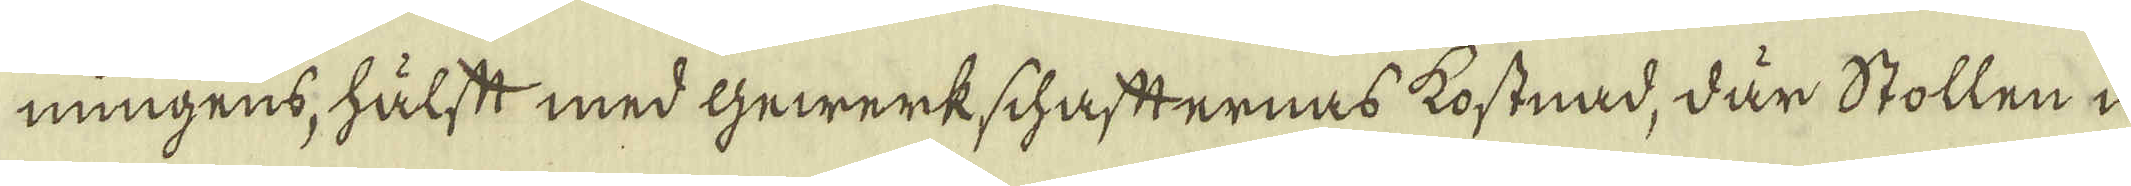ningens, hälstt med Gewärkschaftternas kostnad, där Stollen i
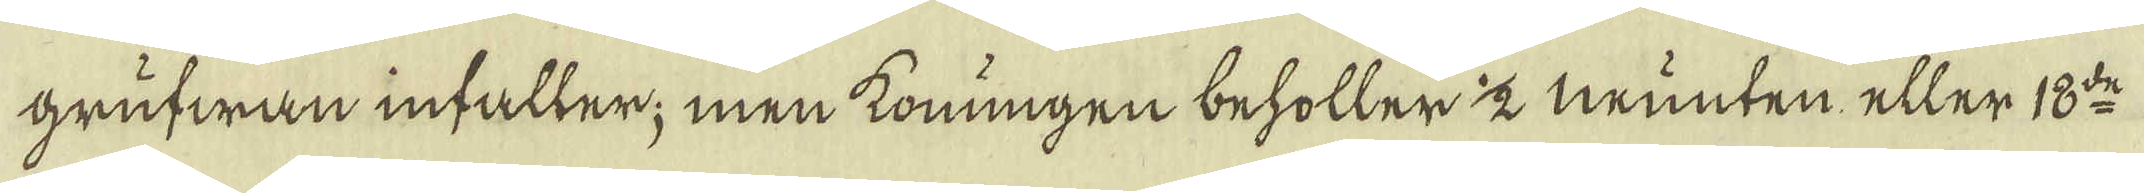grufwan infaller; men konungen beholler 1/2 munten, eller 18:de
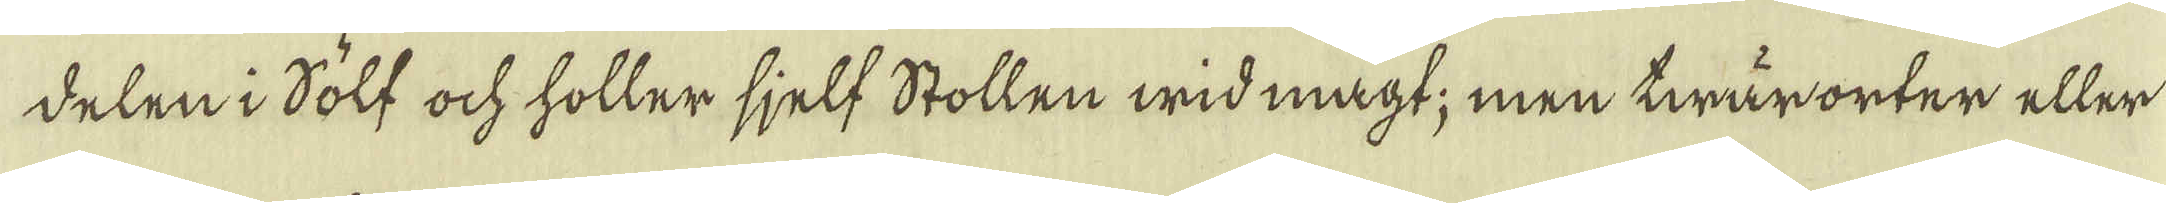delen i Sölf ock holler sjelf Stollen wid magt; men twär orter eller
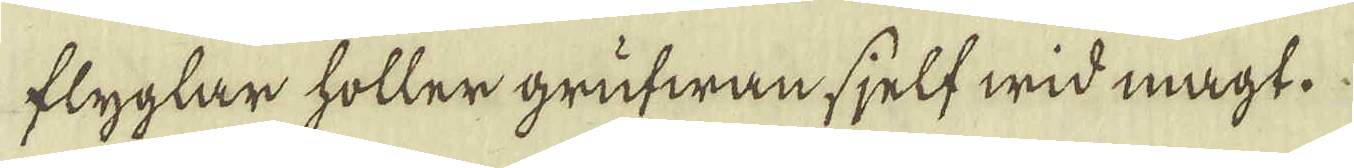flyglar hölter grufwan sjelf wid magt.
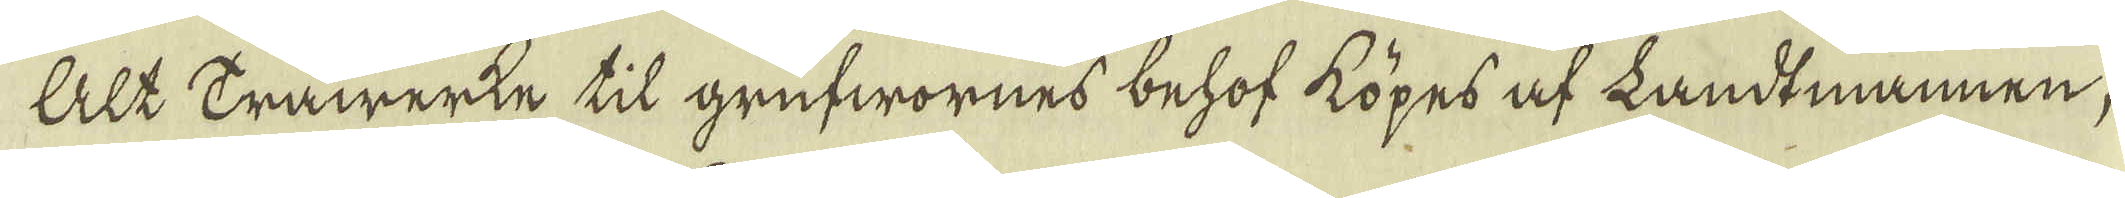Alt Träwerke til grufwornes behof köpes af Landtmannen,
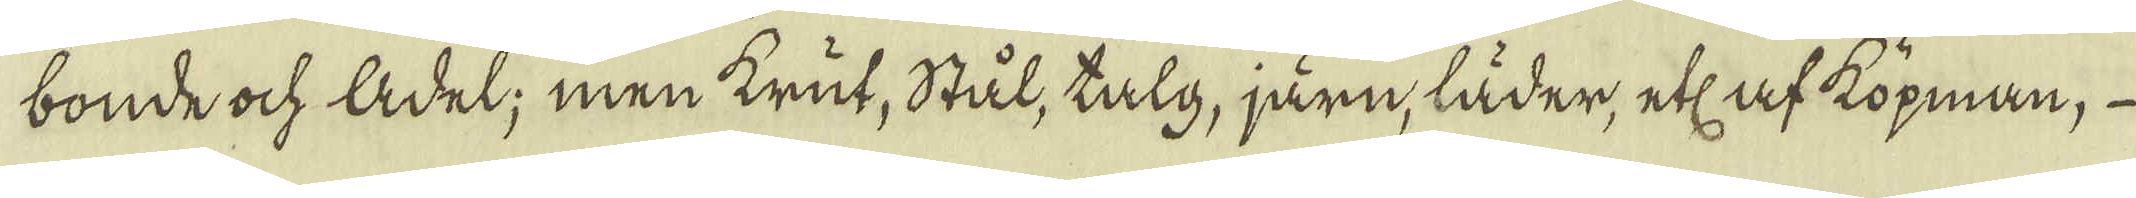bonde ock ldel; men krut, stål, talg, järn, läder, ett af kopman, 
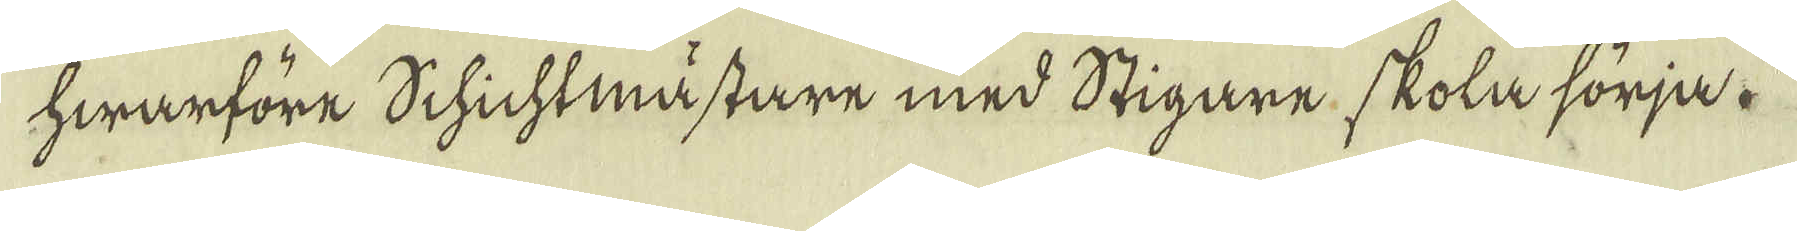hwarföre Schichtmästare med Stigare skola sörja.
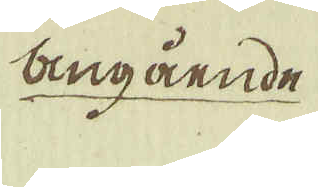angående
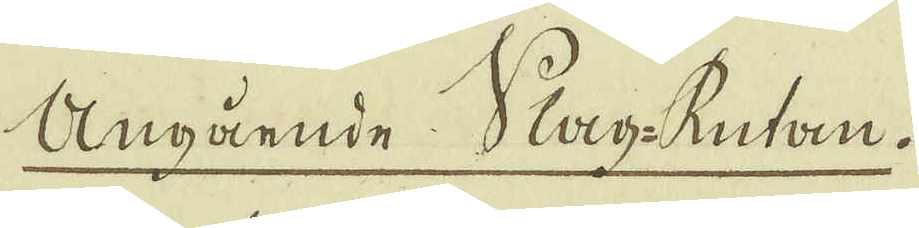Angående Slag-Rutan.
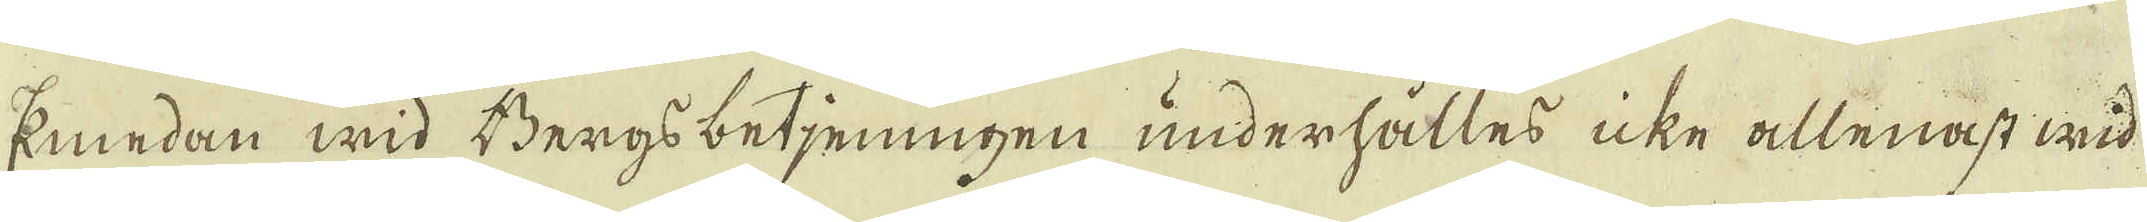Emedan wid Bergs betjeningen underhålles icke allenast wid
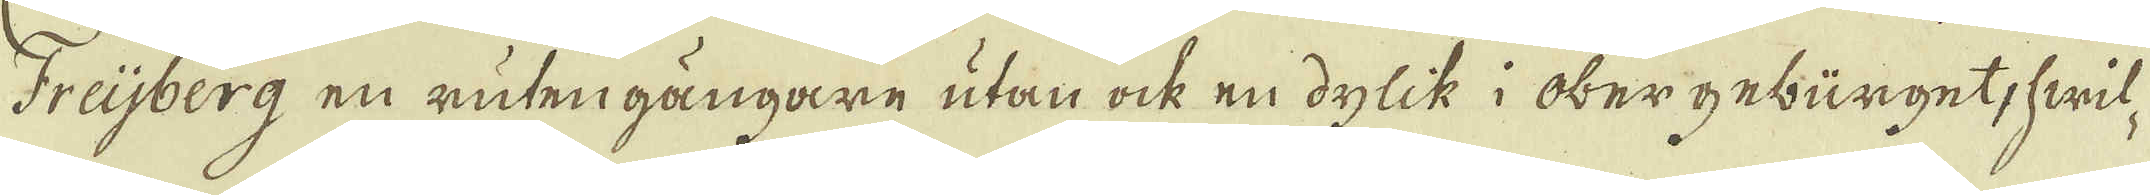Freijberg en ruten gångare utan ock en dylik i obergebürget, hwil-
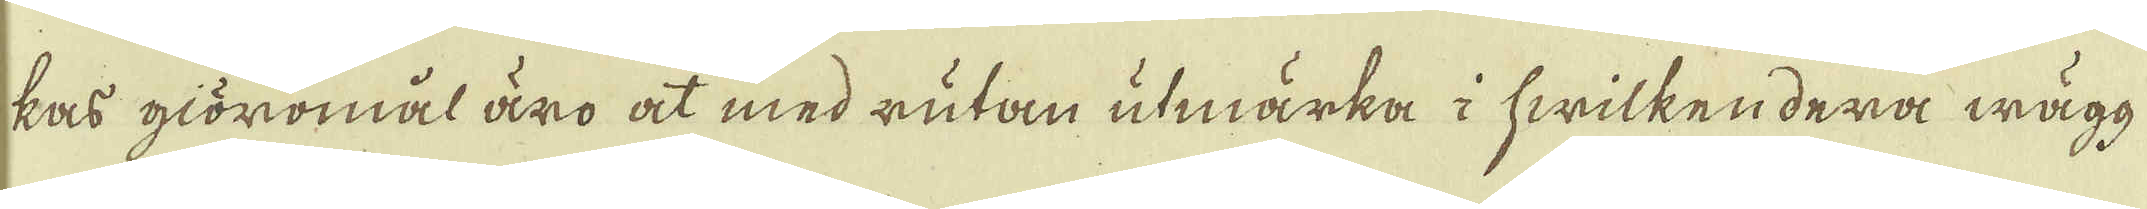kas giöromäl äro at med rutan utmärka i hwilken dera wägg
